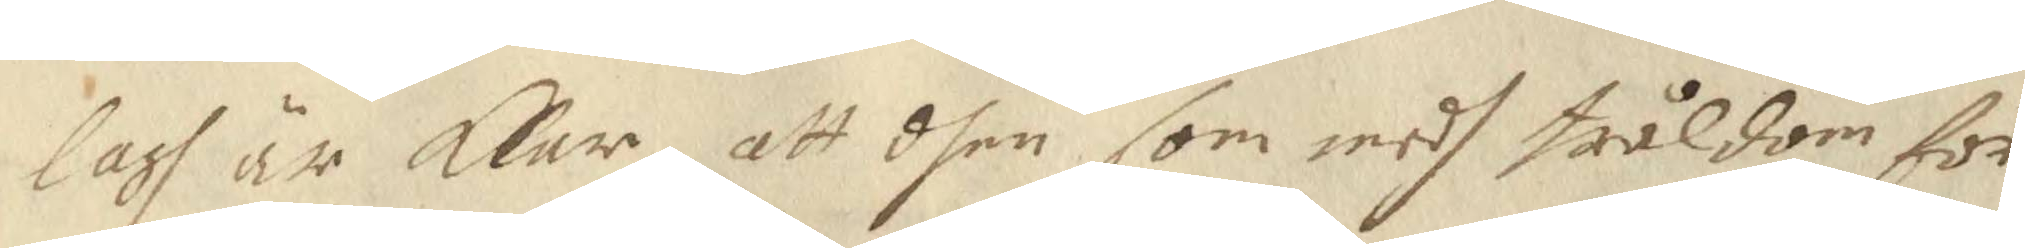lagh är klar att dhen som medh tråldom för¬
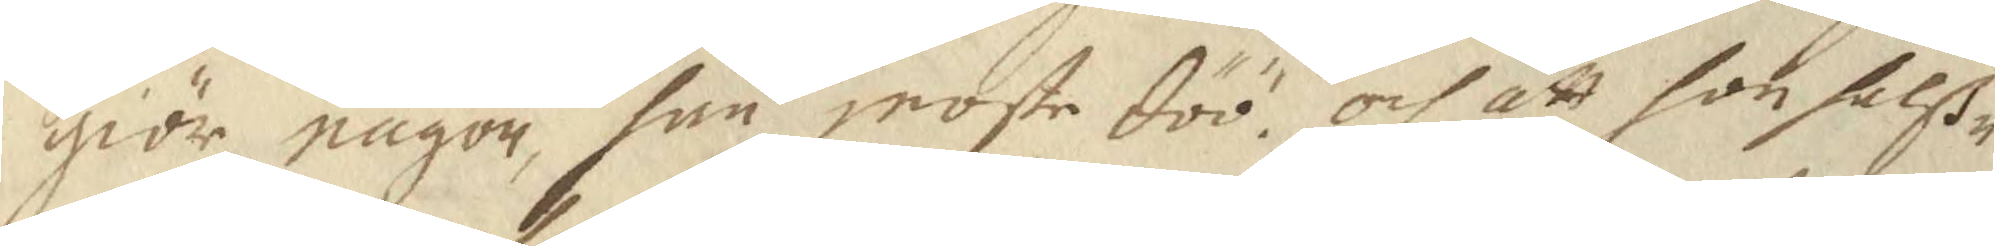giör någon, han moste döö, och att hon halß¬
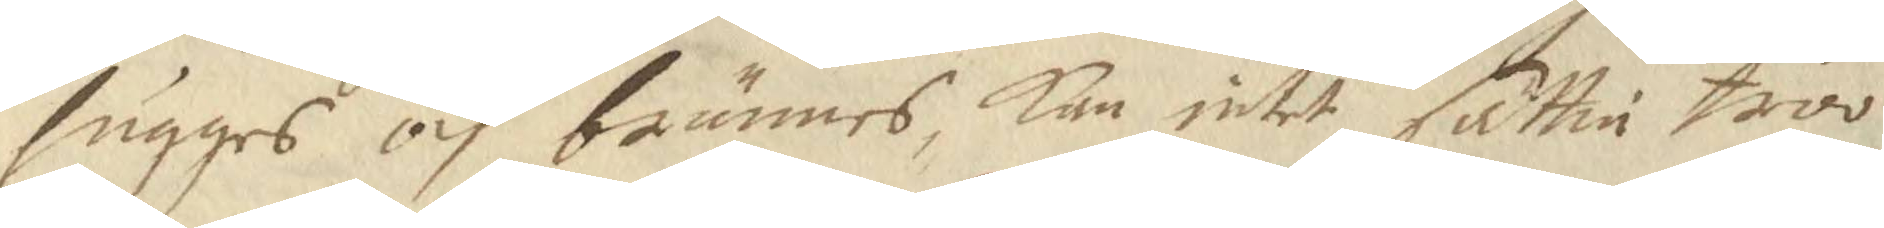hugges och brännes, Kan intet sättia troo
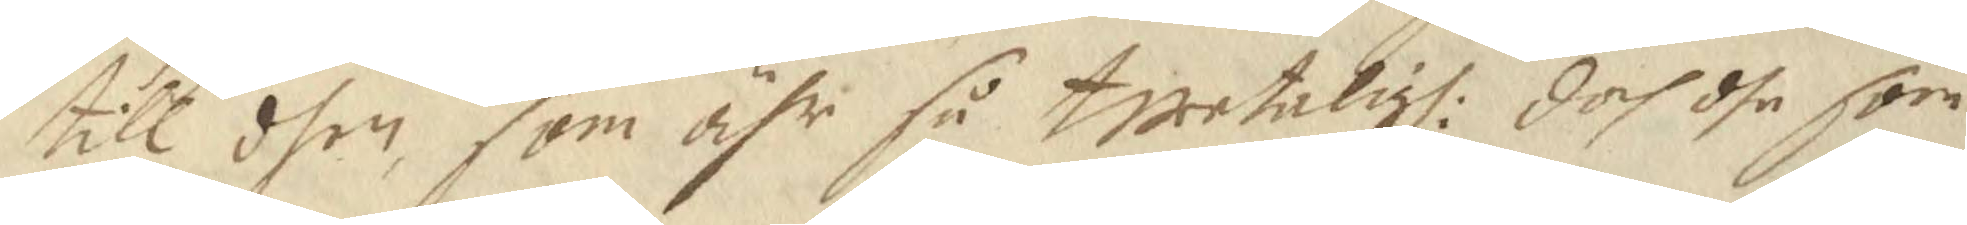till dhen som ähr så twetaligh: doch dhe som
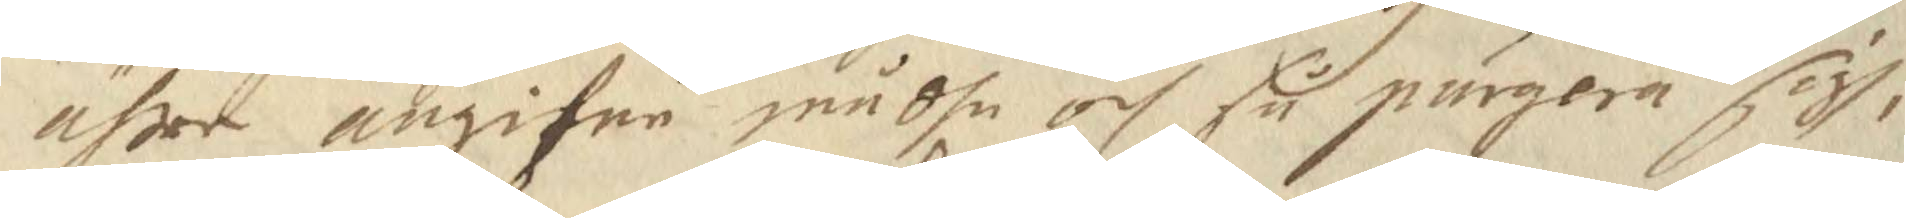ähre angifne mådhe och så purgera sigh,
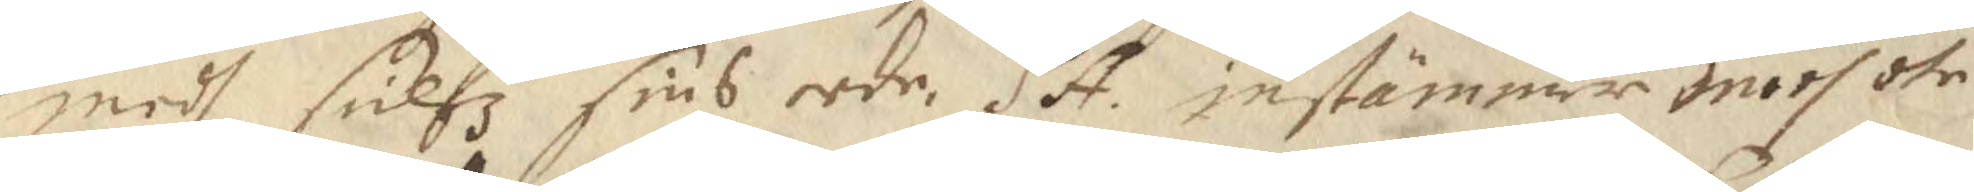medh sielfz sins eede. SA. instämmer medh dhe 
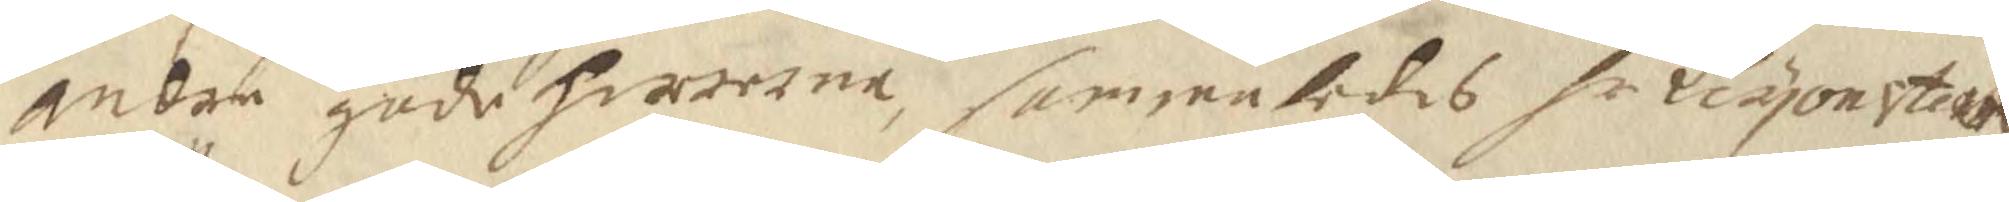andre gode herrerne, sammeledes hr Leyonsteen
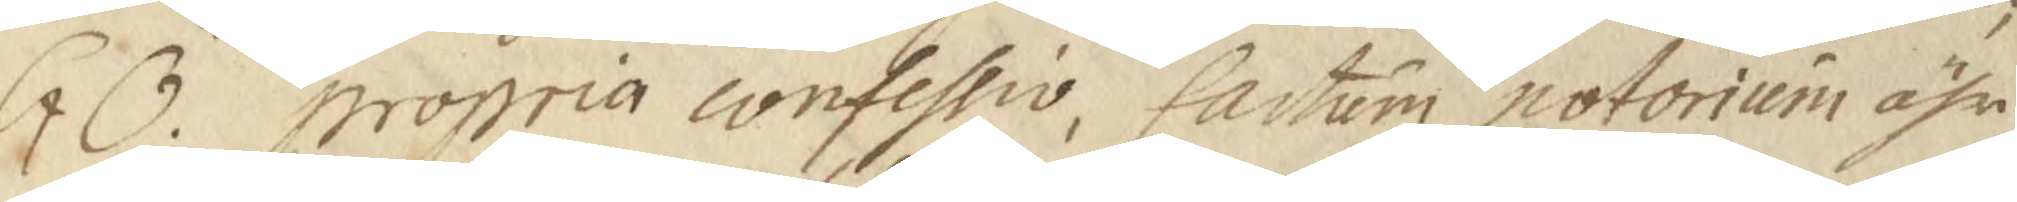GÖ. propria confessio, fartum notorium ähr
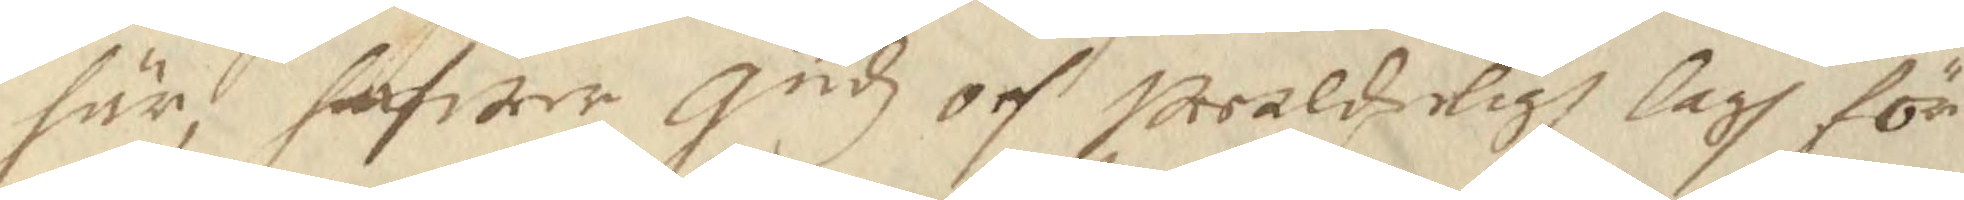här, hafwer Gudz och werldzeligh lagh för
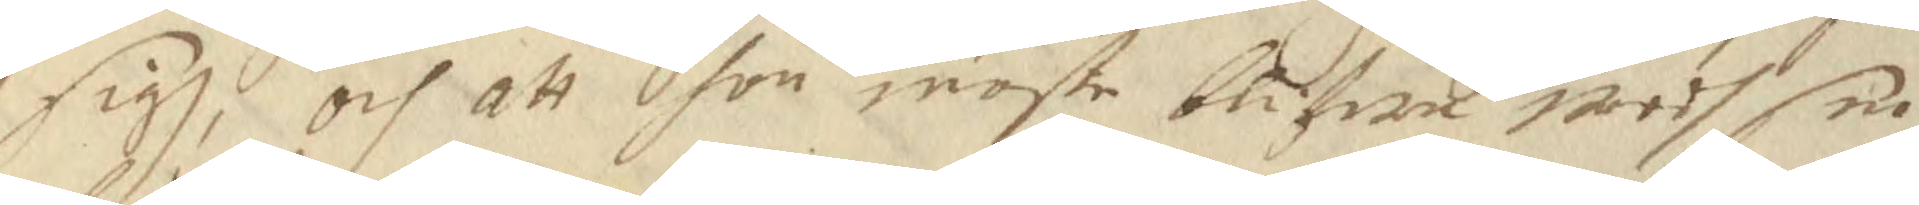sigh och att hon moste blifwa wedh sin
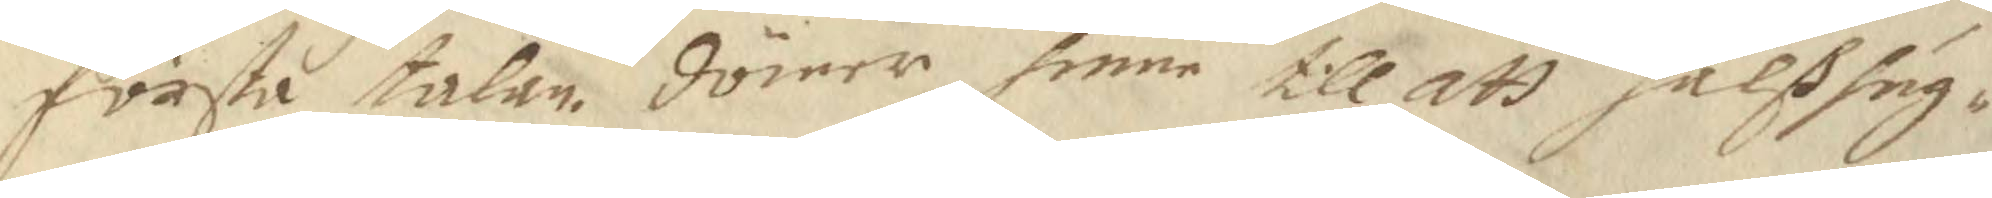första talan. dömer henne till att halshug¬
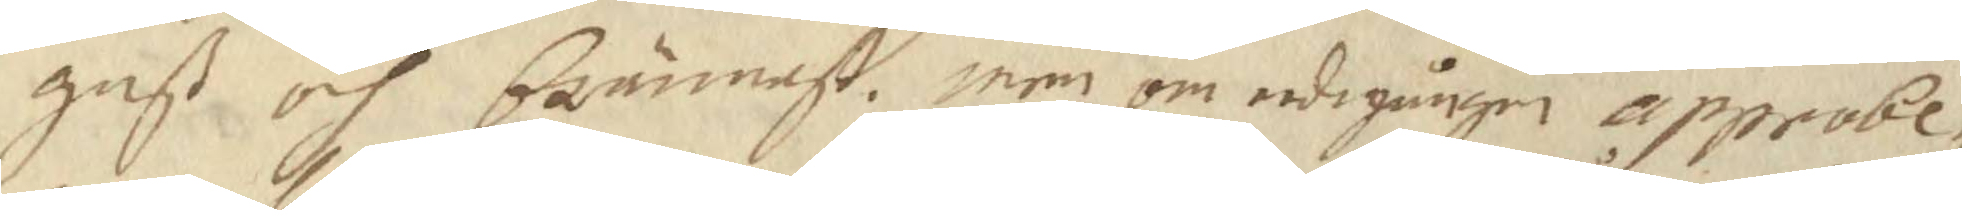gaß och brännast. men om eedegången approbe¬
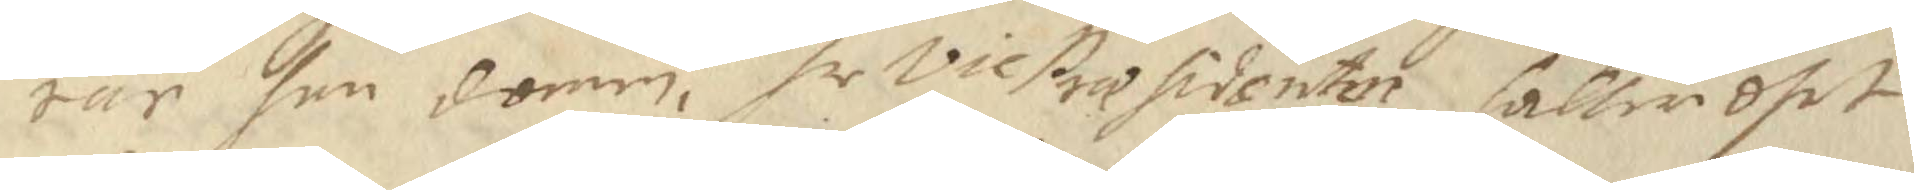rar han domen, hr vice Presidenten håller dhet
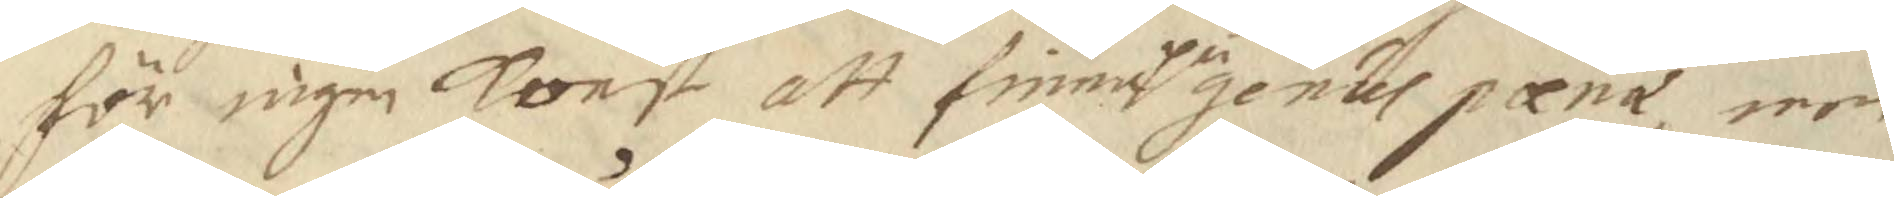för ingen konst att finne på  genus pænæ, een
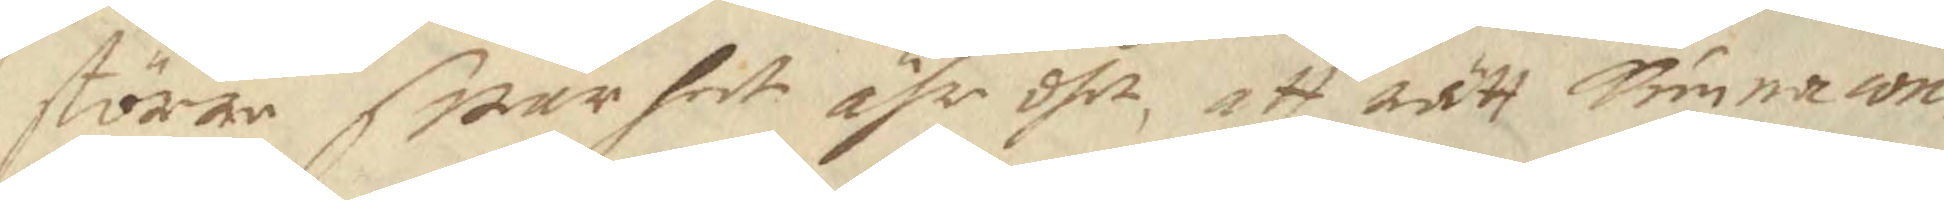större swårhet ähr dhet, att rätt Kunna con¬
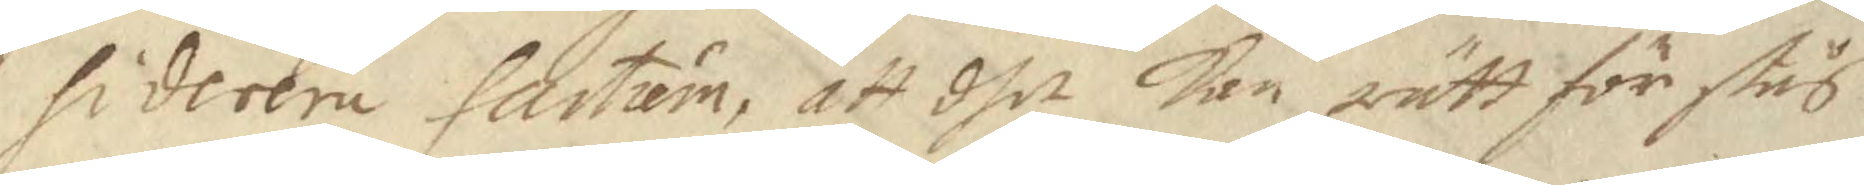siderera fartum, att dhet kan rätt för stås
